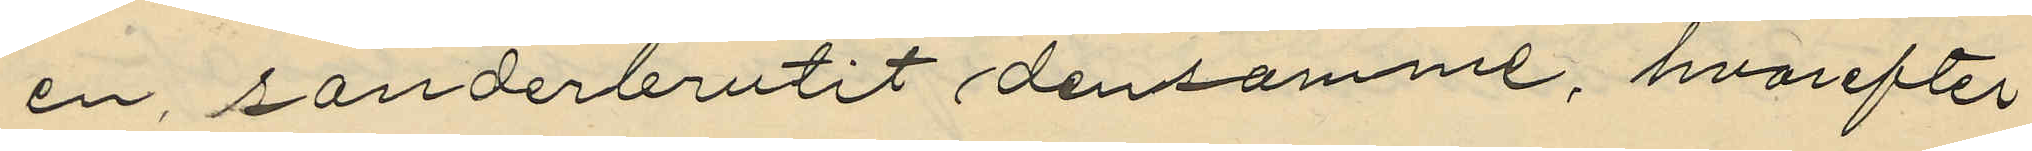en, sönderbrutit densamme, hvarefter
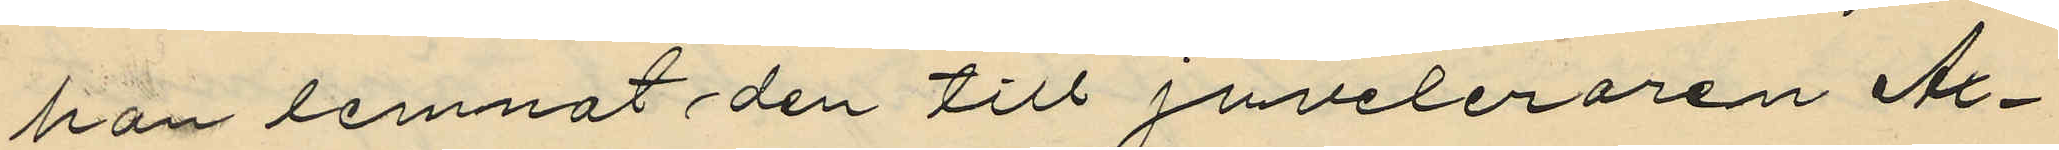han lemnat den till Juveleraren Ax¬
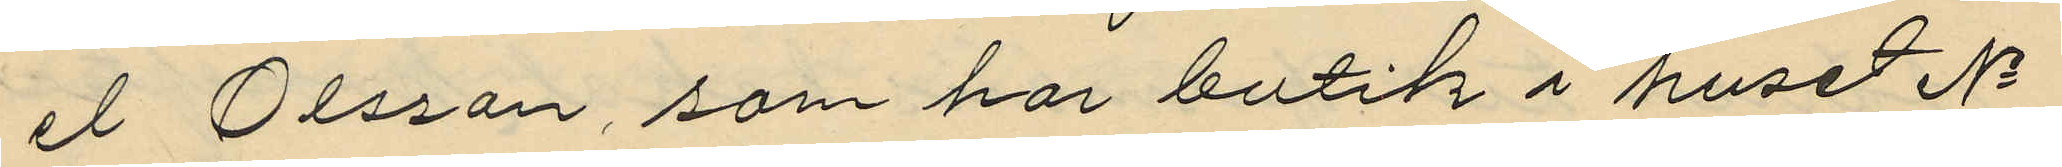el Olsson, som har butik i huset No
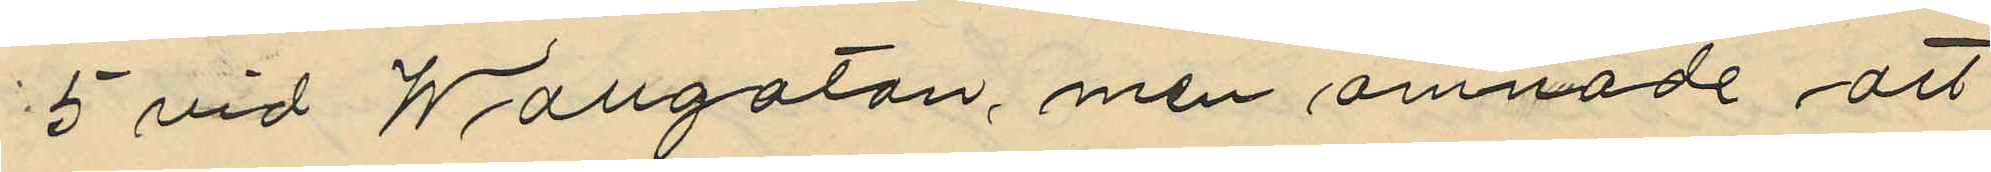5 vid Wallgatan, men ämnade att
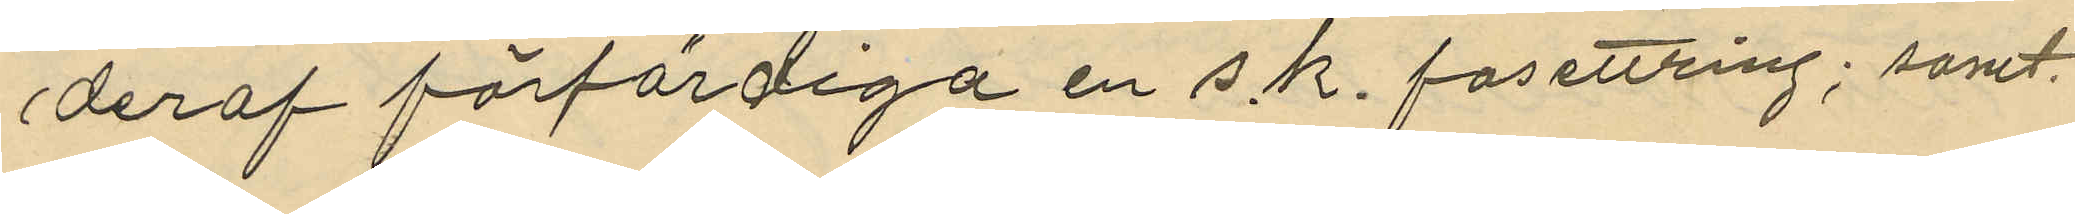deraf förfärdiga en s. k. fasettring; samt
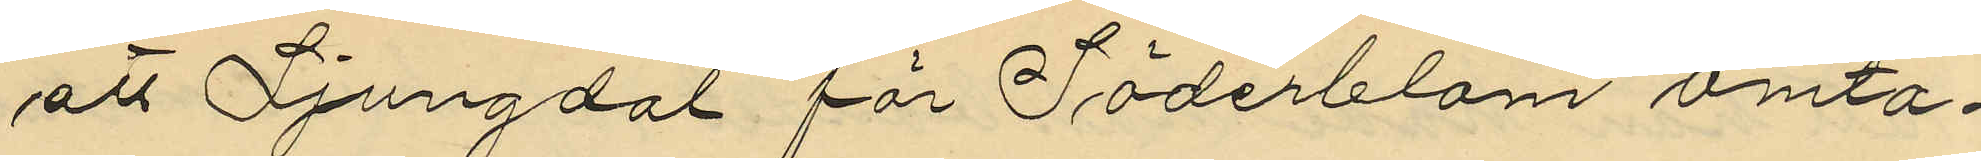att Ljungdal för Söderblom omta¬
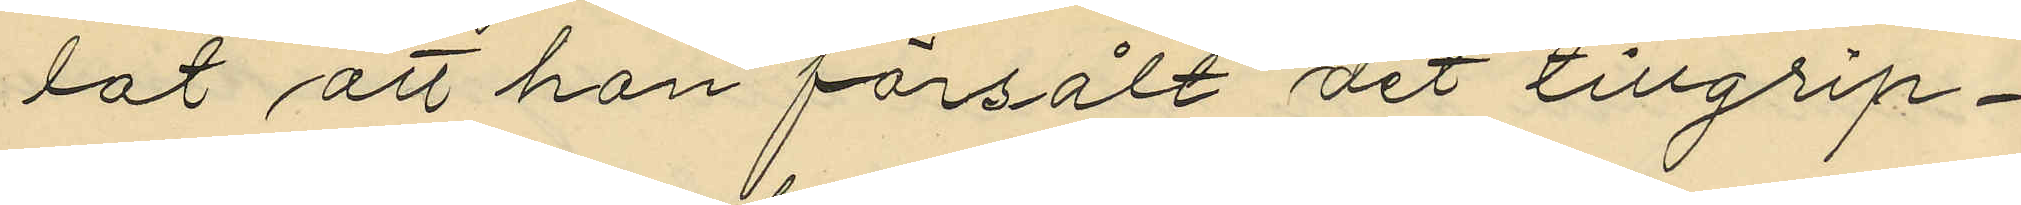lat att han försålt det tillgrip¬
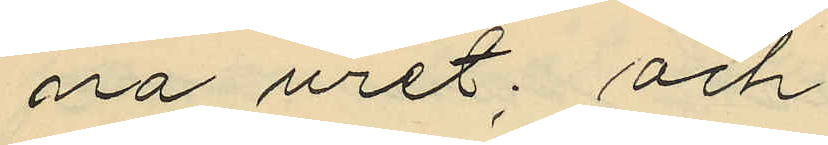na uret; och
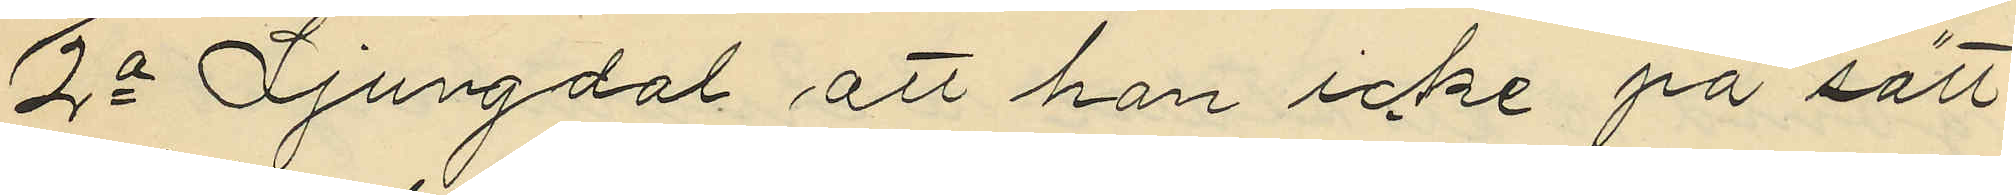2o Ljungdal att han icke på sätt
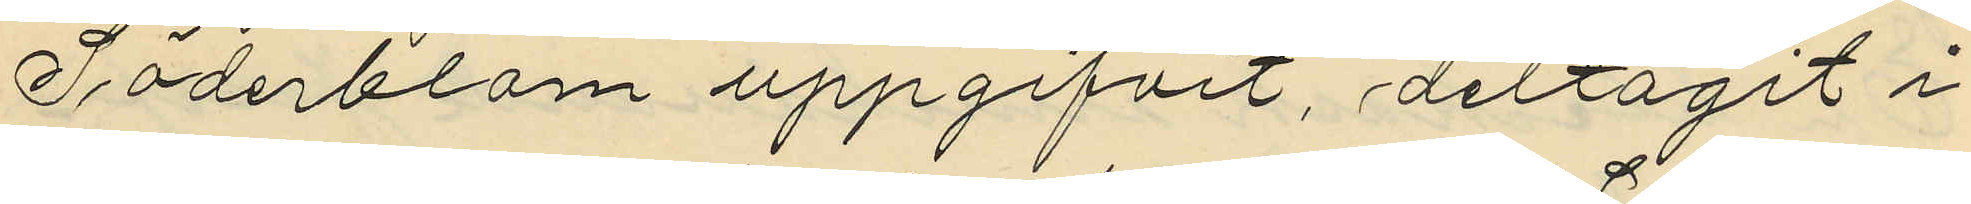Söderblom uppgifvit, deltagit i
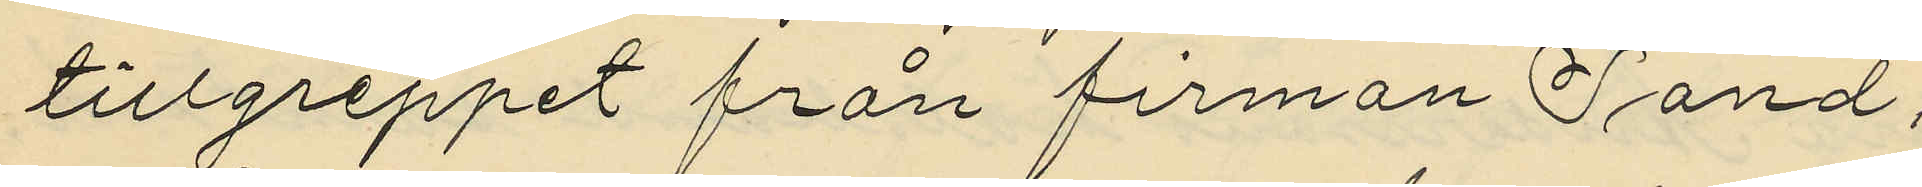tillgreppet från firman Sand,
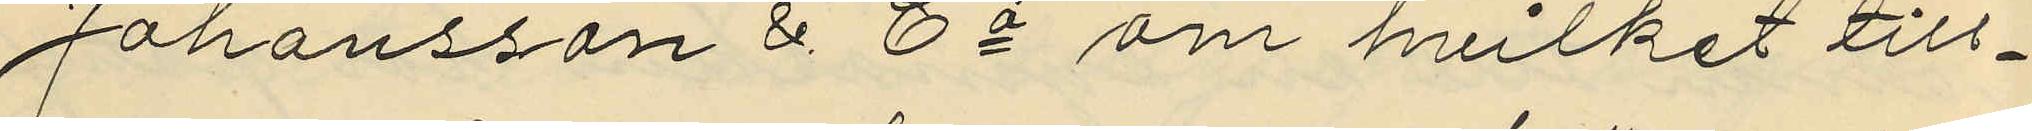Johansson & Co om hvilket till¬
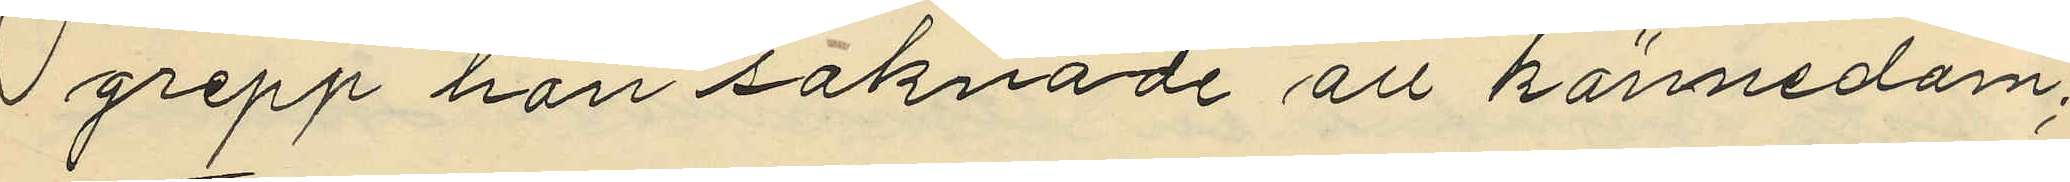grepp han saknade all kännedom;
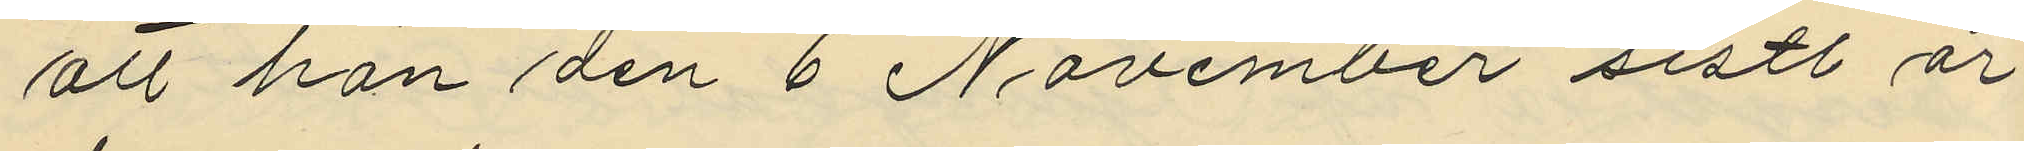att han den 6 November sist. år
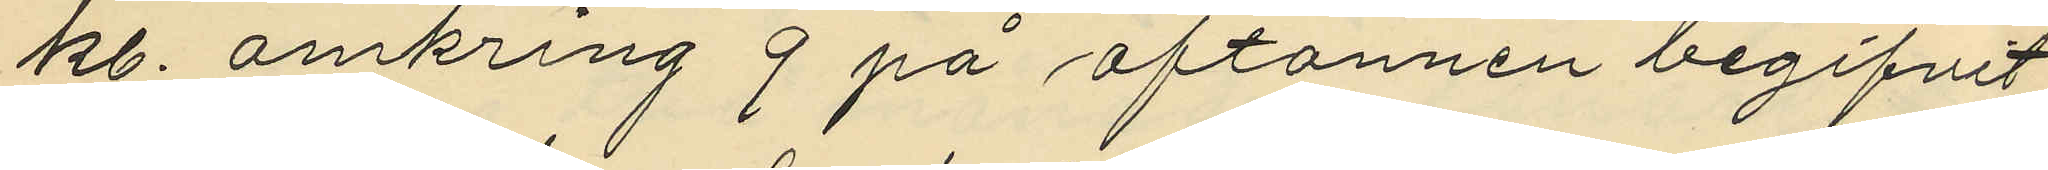kl. omkring 9 på aftonnen begifvit
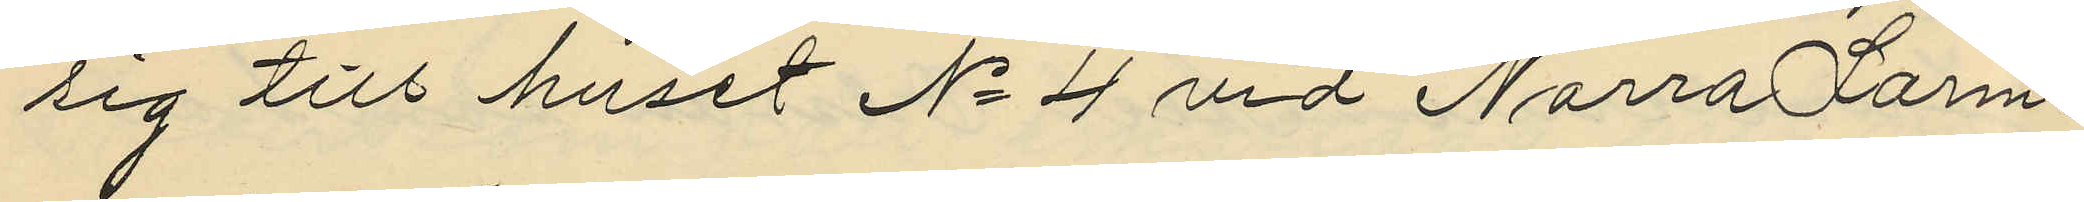sig till huset No 4 vid Norra Larm¬
